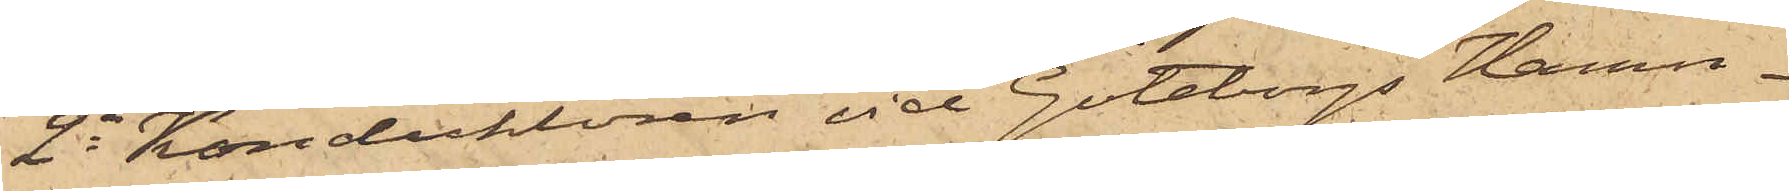2o Konduktören vid Göteborgs Hamn¬
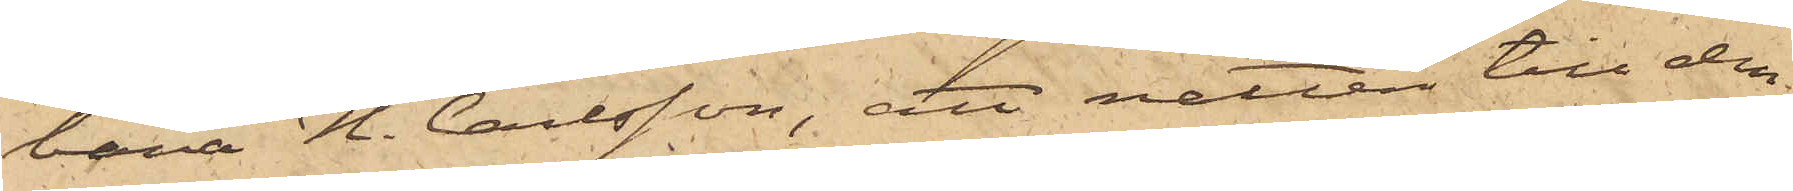bana H. Carlsson, att natten till den
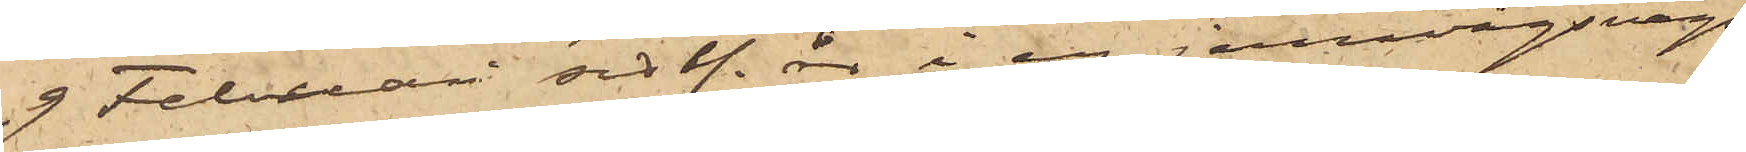9 Februari sistl. år i en jernvägsvagn,
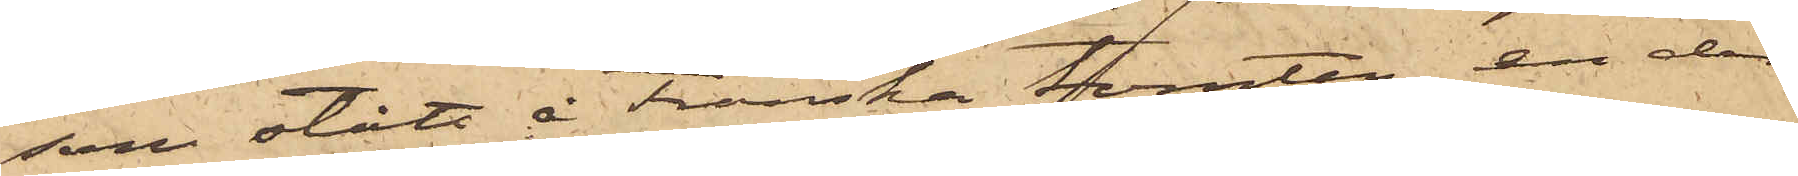som stått å Franska tomten, en der
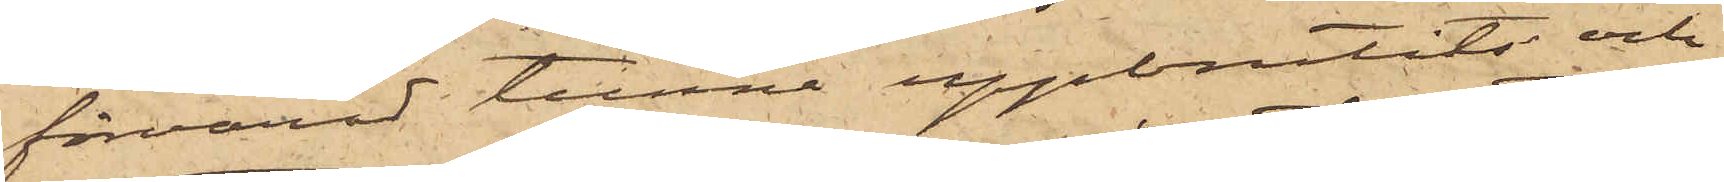förvarad tunna uppbrutits och
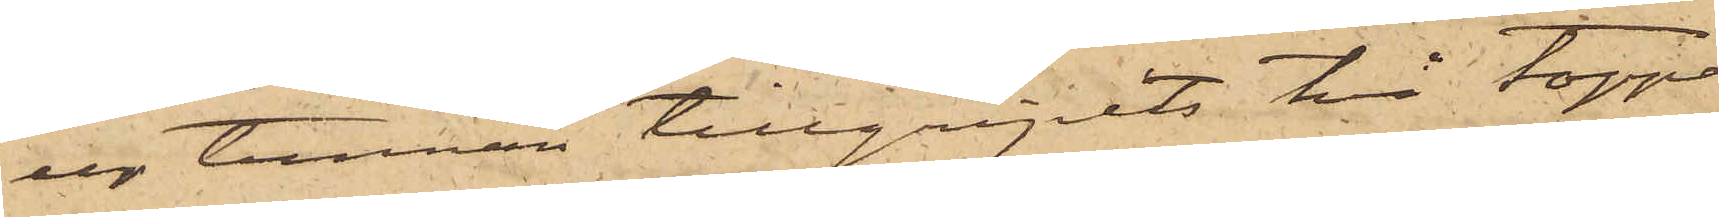ur tunnan tillgripits två toppar
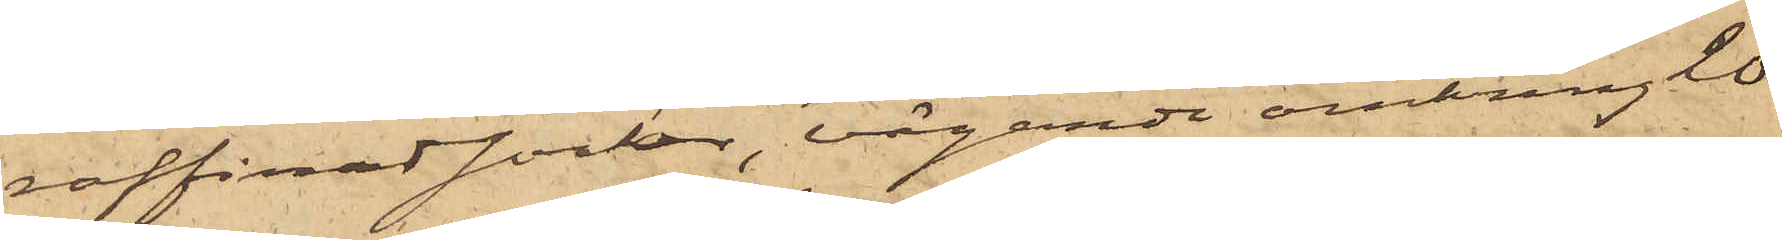raffinadsocker, vägande omkring 20
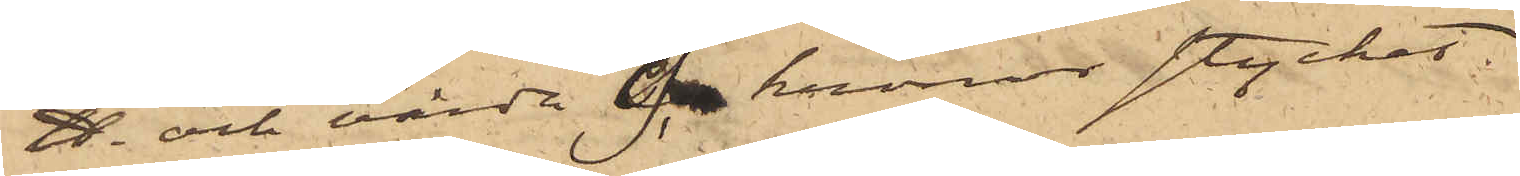℔ och värda 9 kronor stycket,
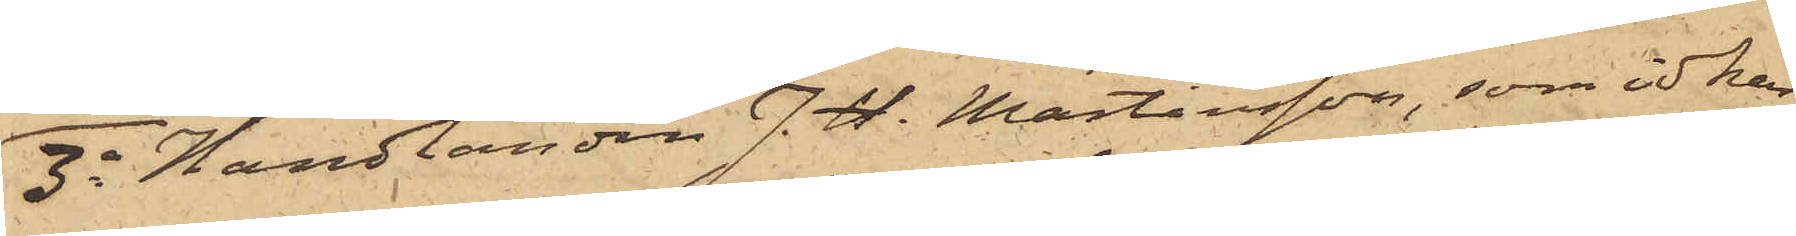3o Handlanden J. H. Martinsson, som idkar
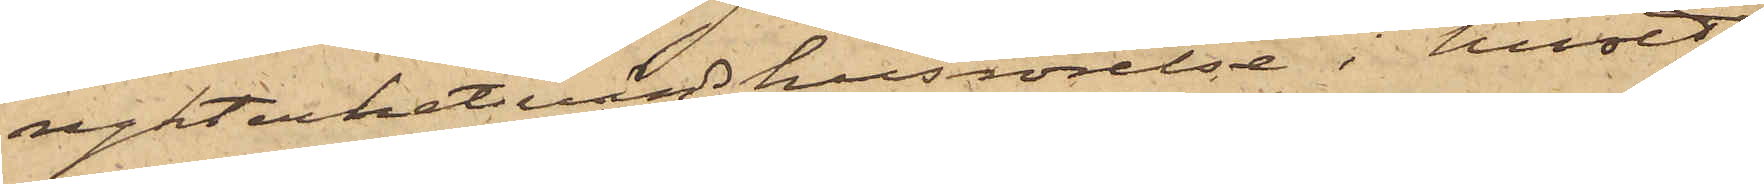rykterhetvärdshusrörelse i huset
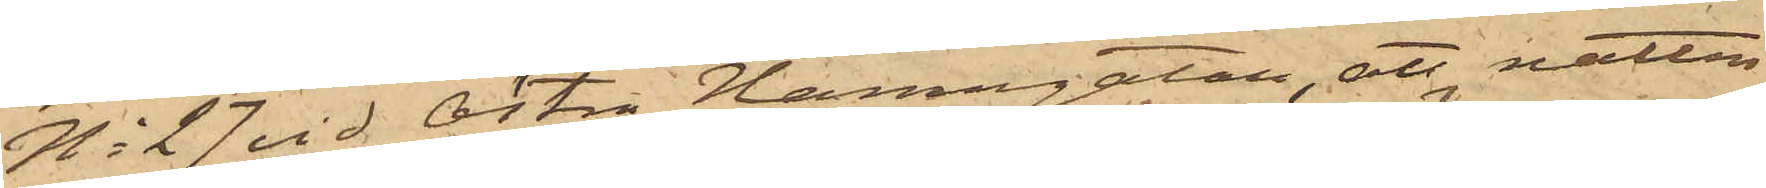No 27 vid Östra Hamngatan, att natten
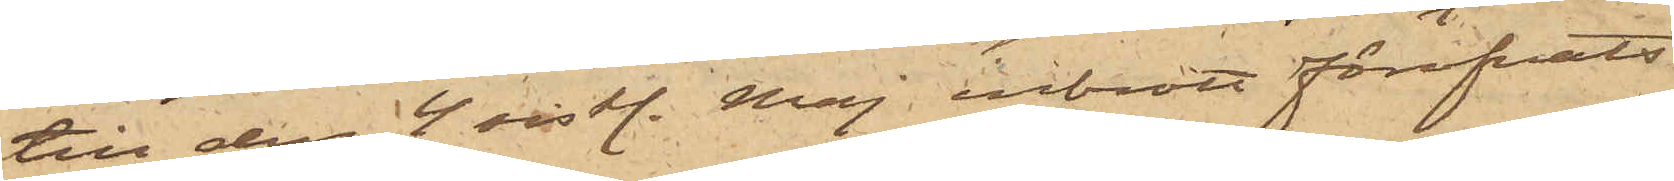till den 4 sistl. Maj inbrott föröfvats
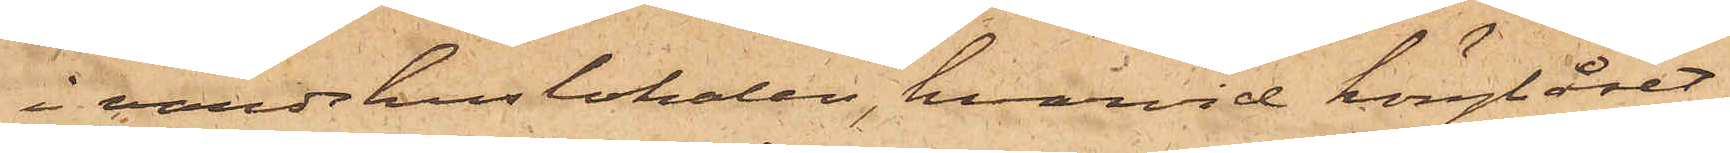i värdshuslokalen, hvarvid hänglåset
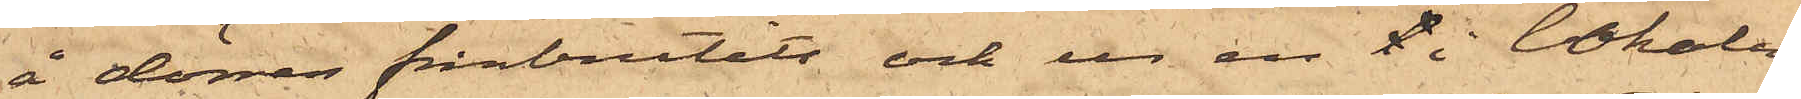å dörren frånbrutits och ur en l i lokalen
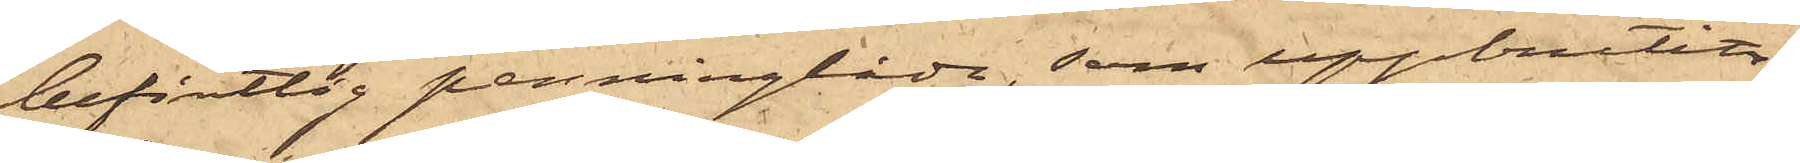befintlig penninglåda, som uppbrutits,
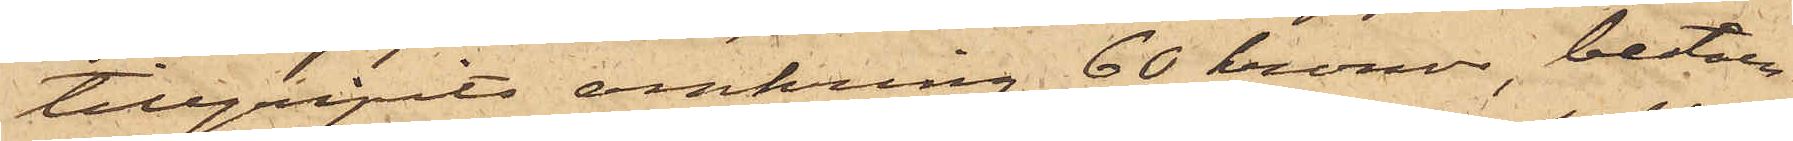tillgripits omkring 60 kronor, beståen¬
